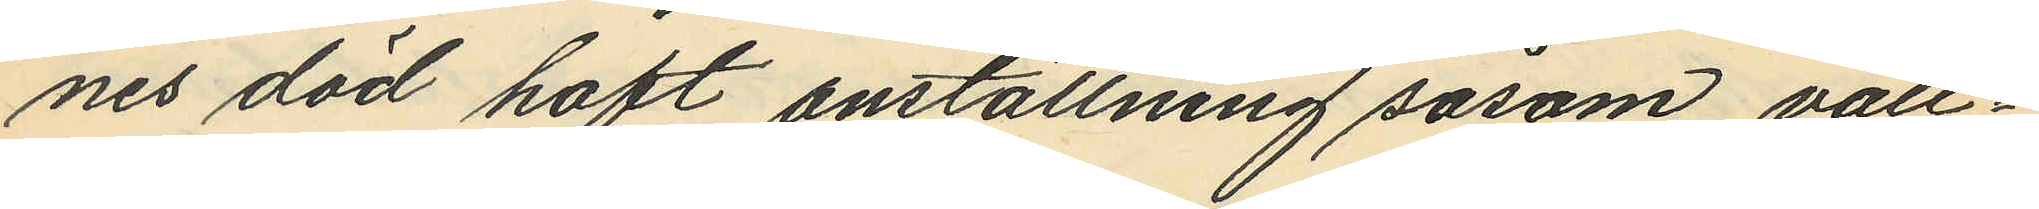nes död haft anställning såsom vall¬
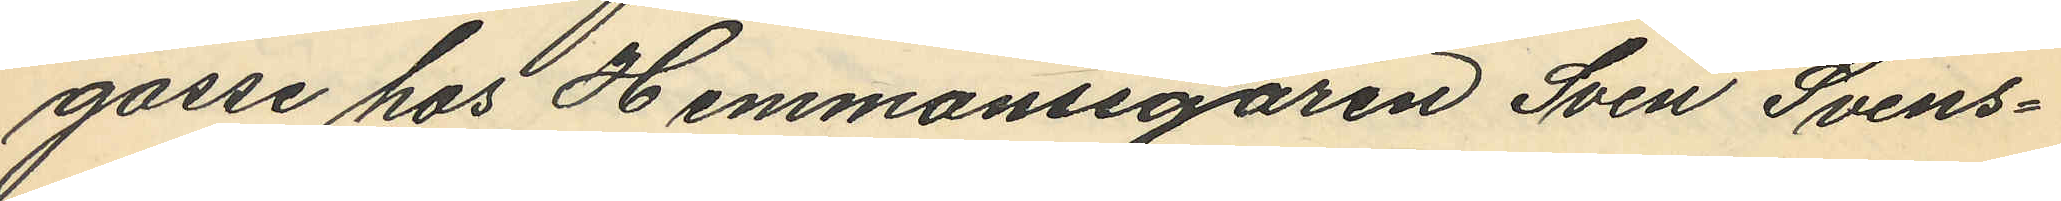gosse hos Hemmansegaren Sven Svens¬
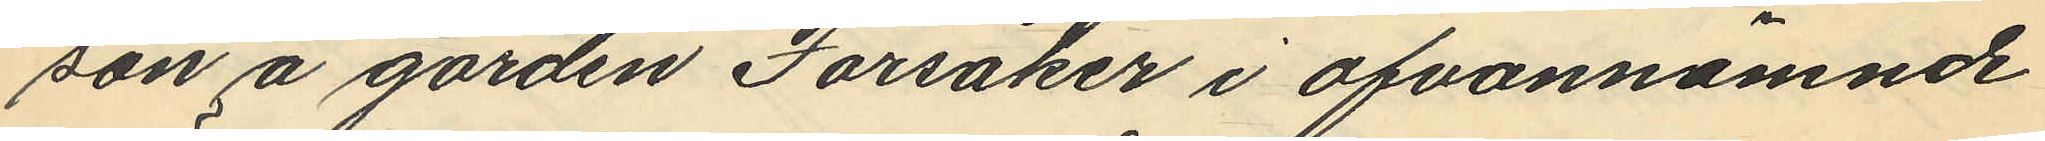son å gården Forsåker i ofvannämnde
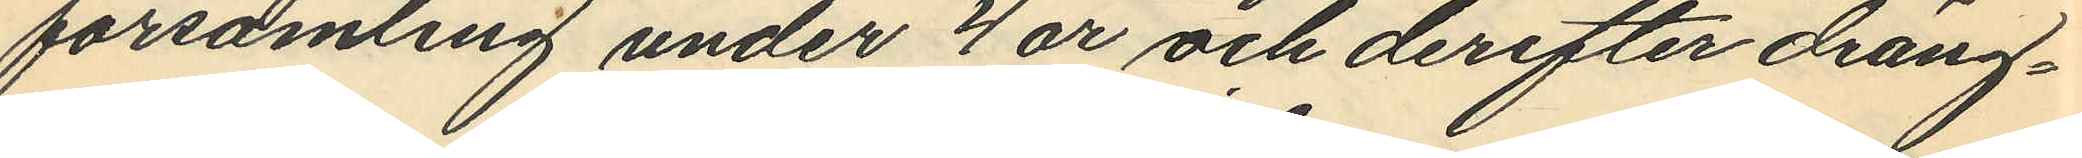församling under 4 år och derefter dräng¬
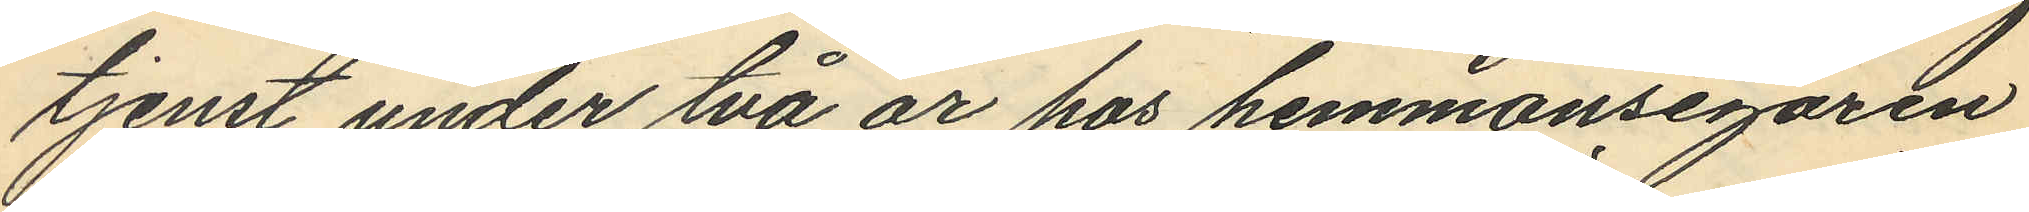tjenst under två år hos hemmansegaren
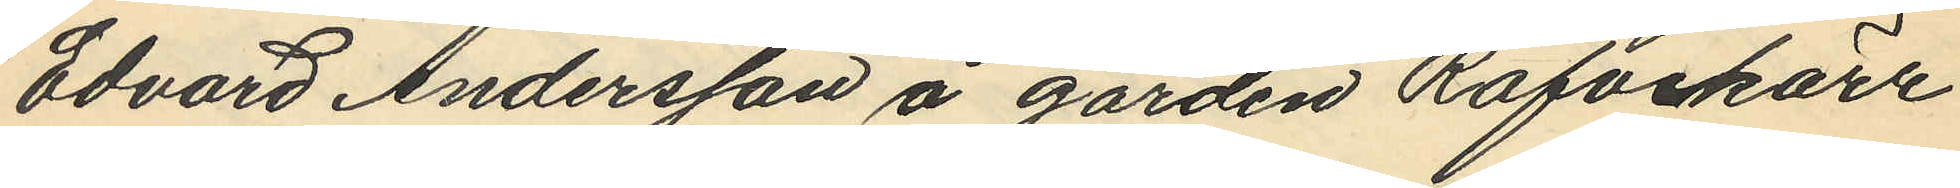Edvard Andersson å gården Räfvekärr
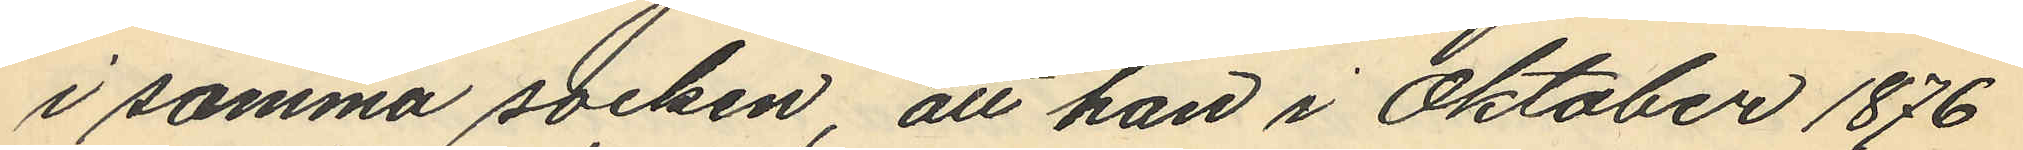i samma socken, att han i Oktober 1876
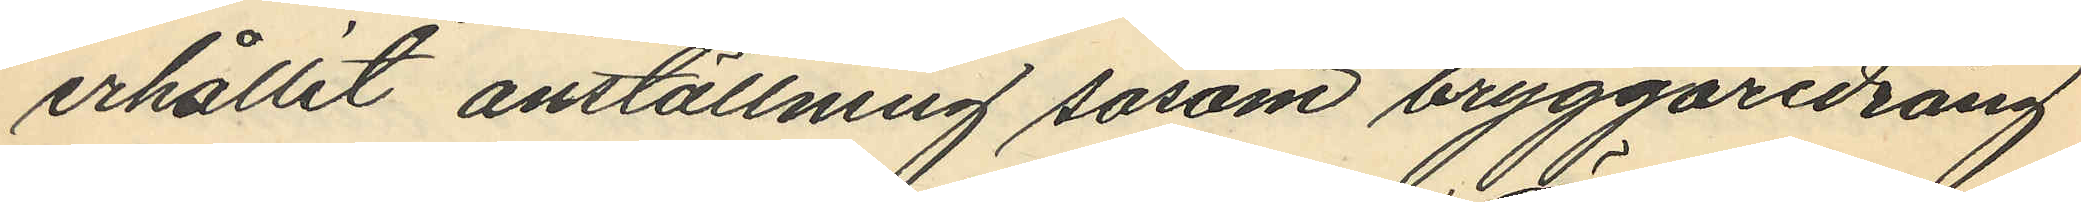erhållit anställning såsom bryggaredräng
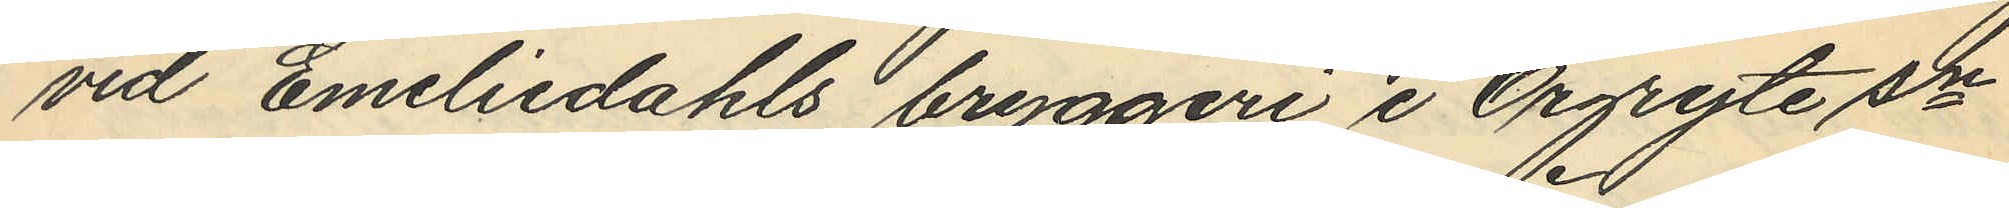vid Emeliedahls bryggeri i Örgryte sn
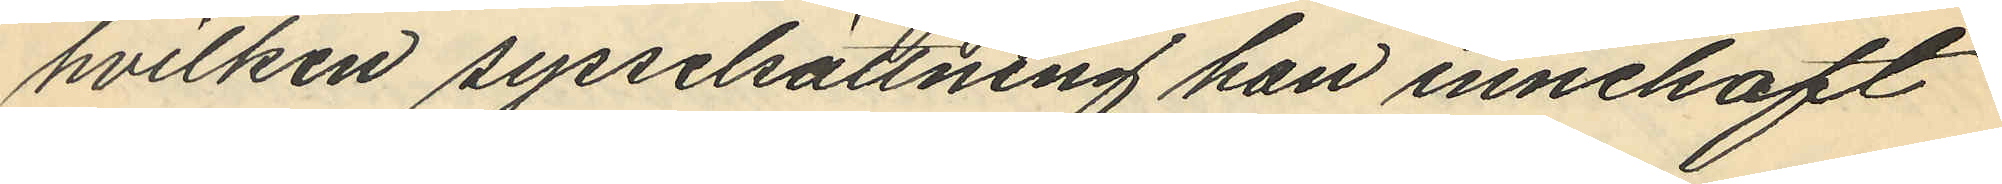hvilken sysselsättning han innehaft
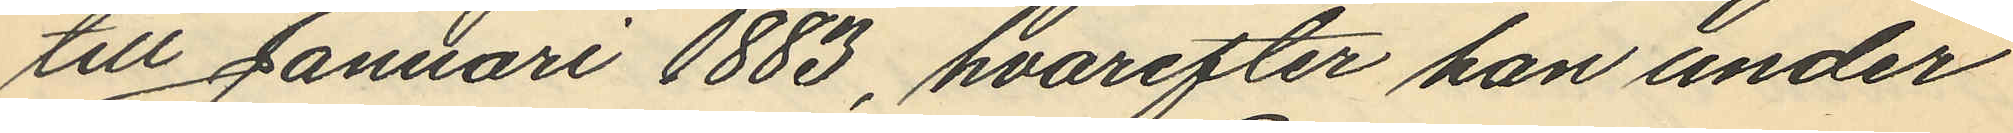till Januari 1883, hvarefter han under
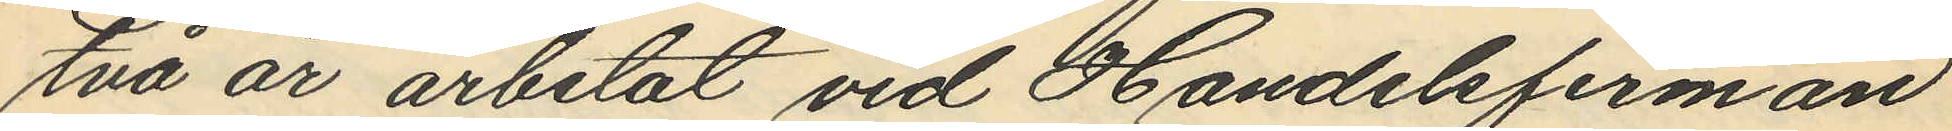två år arbetat vid Handelsfirman
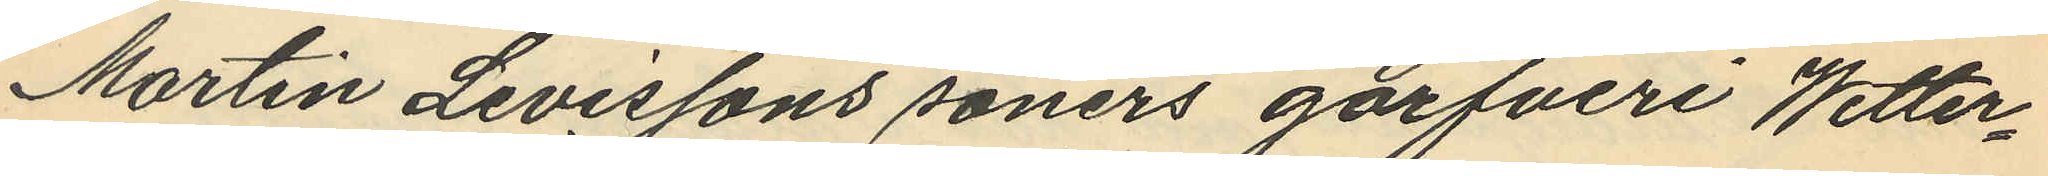Martin Livissons soners garfveri Wetter¬
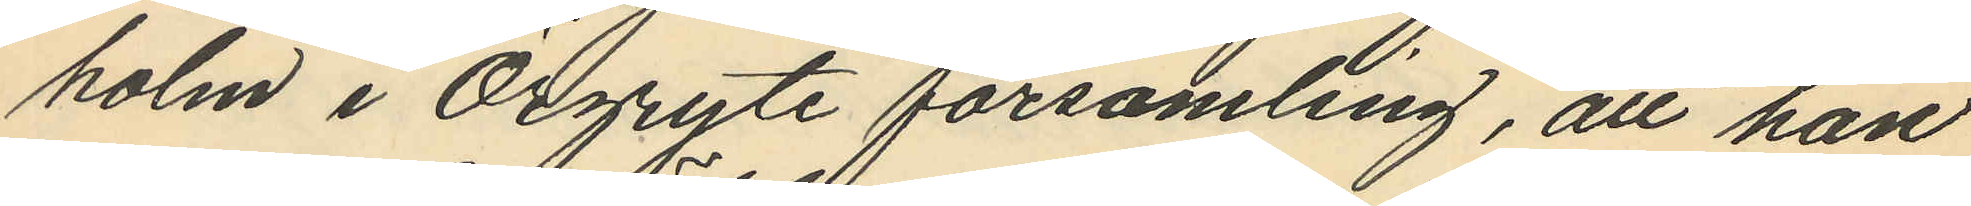holm i Örgryte församling, att han
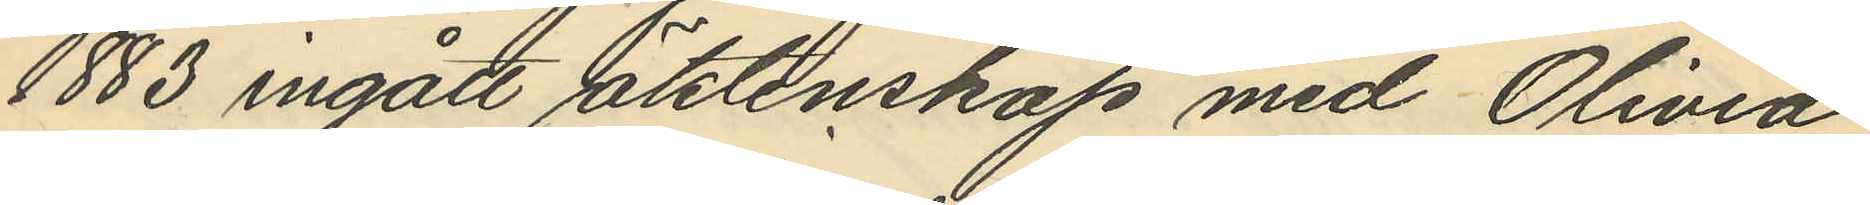1883 ingått saktenskap med Olivia
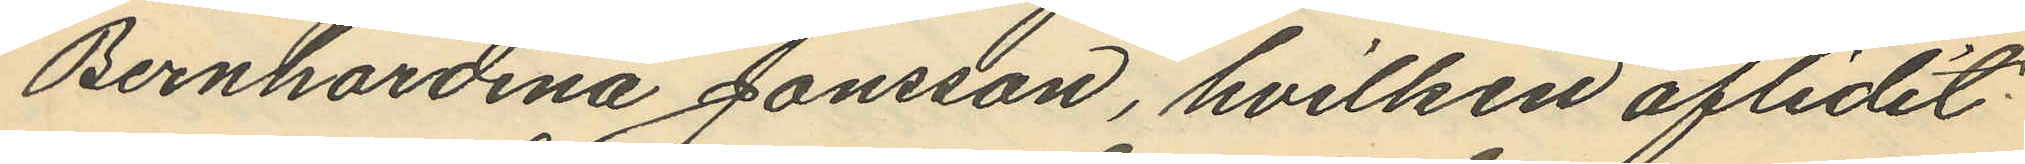Bernhardina Jonsson, hvilken aflidit
